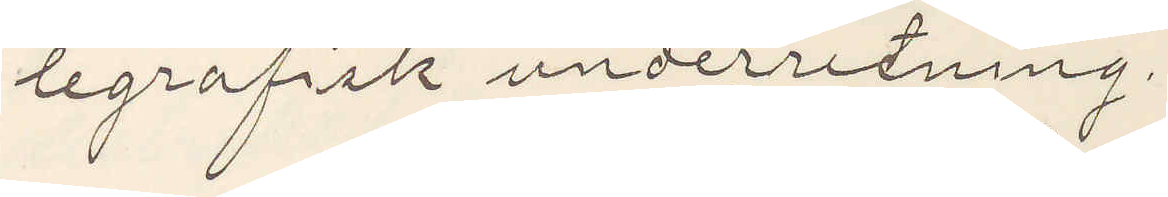legrafisk underretning.
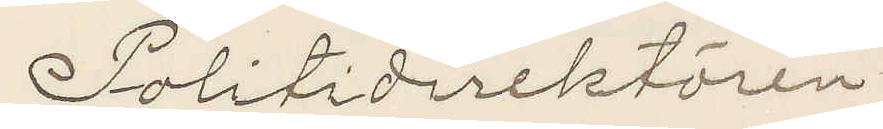Politidirektören.
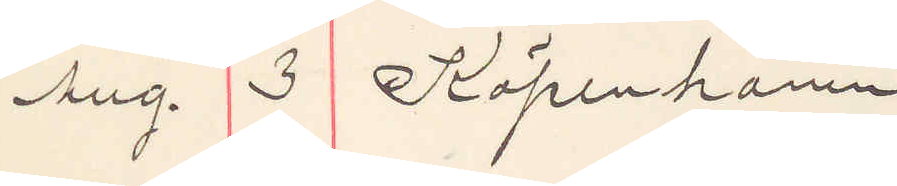Aug. 3 Köpenhamn
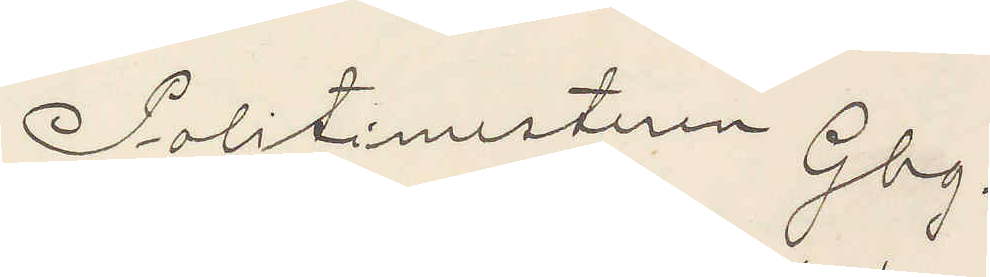Politimesteren Gbg.
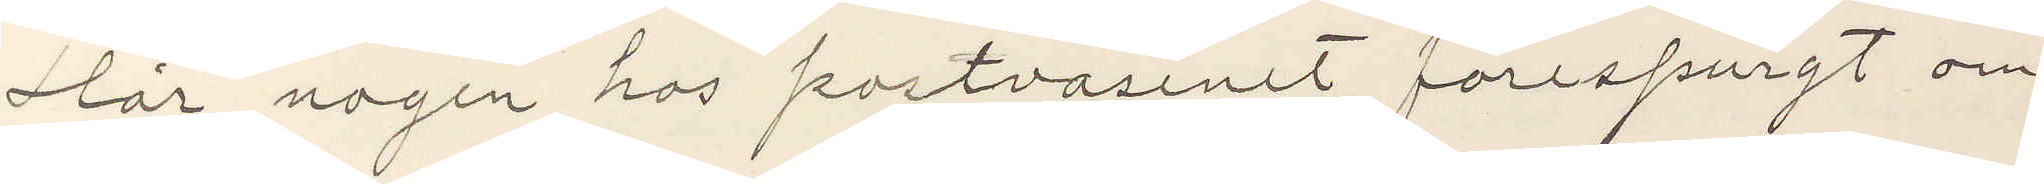Har nogen hos postvasenet förespurgt om
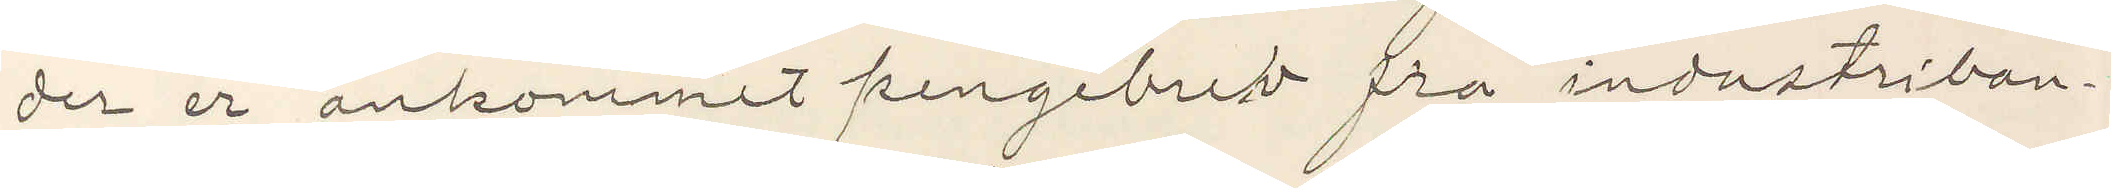der er ankommet pengebrev fra industriban¬
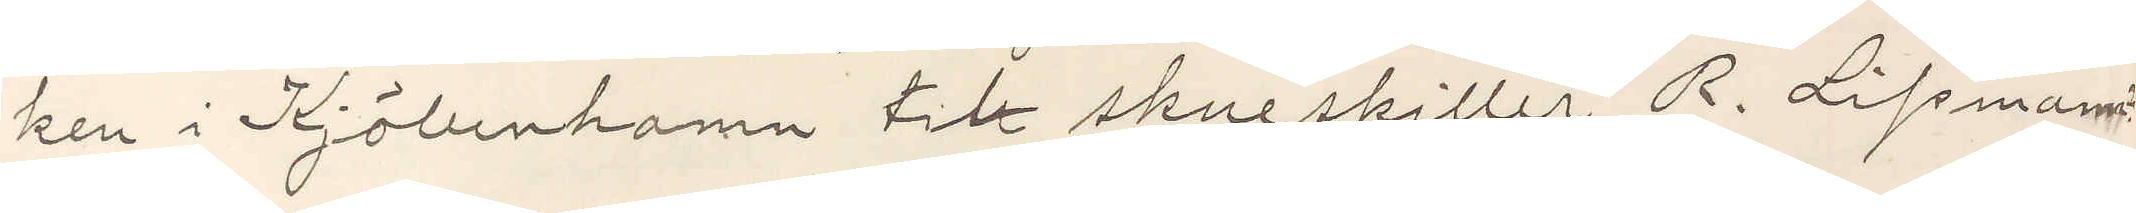ken i Kjöbenhamn til skuespiller R. Lipmann
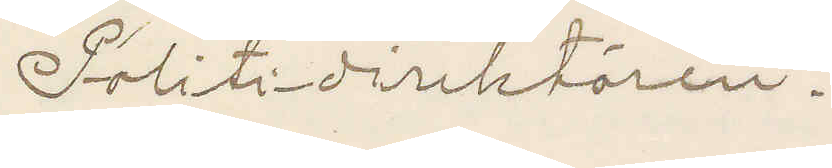Politidirektören.
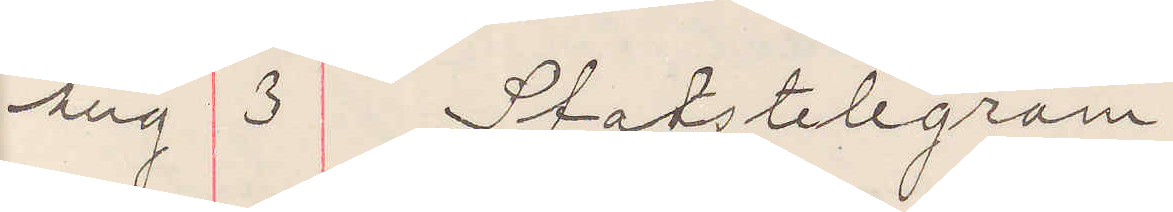Aug 3 Statstelegram
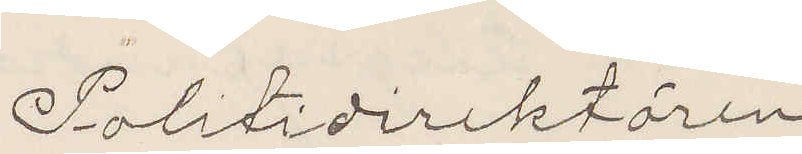Politidirektören
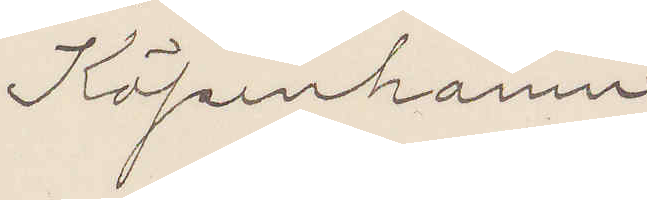Köpenhamn
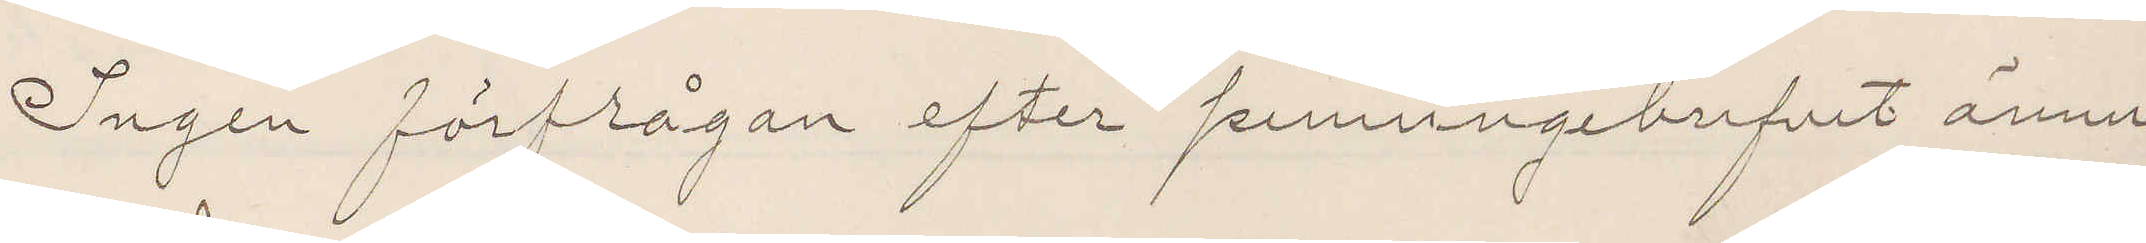Ingen förfrågan efter penningebrefvet ännu
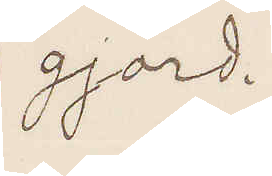gjord.
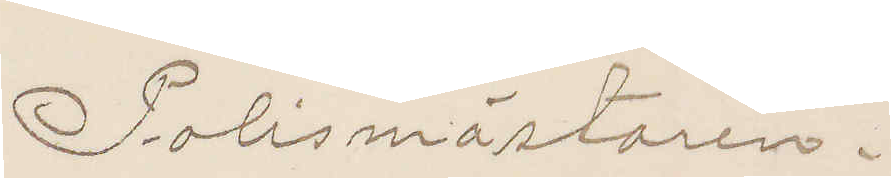Polismästaren.
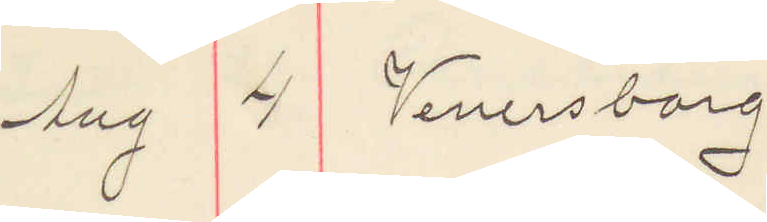Aug 4 Venersborg
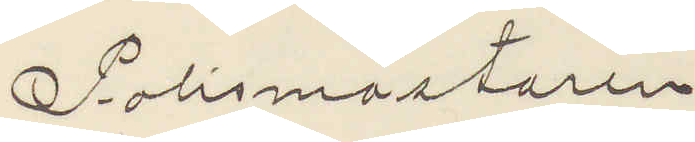Polismästaren
